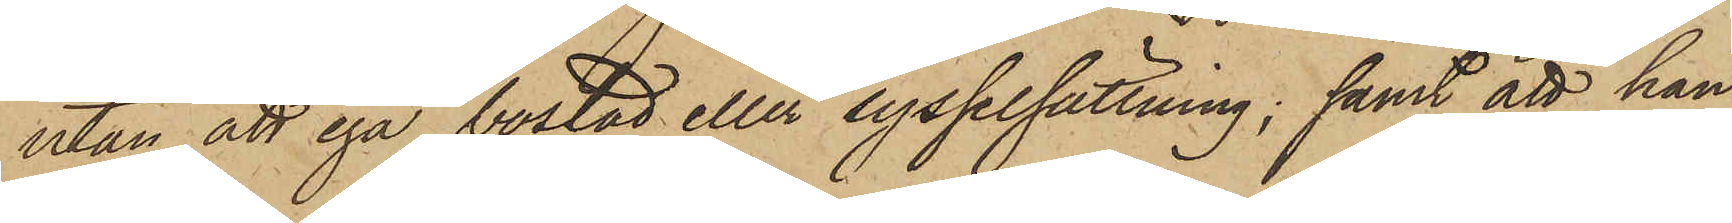utan att ega bostad eller sysselsättning; samt att han
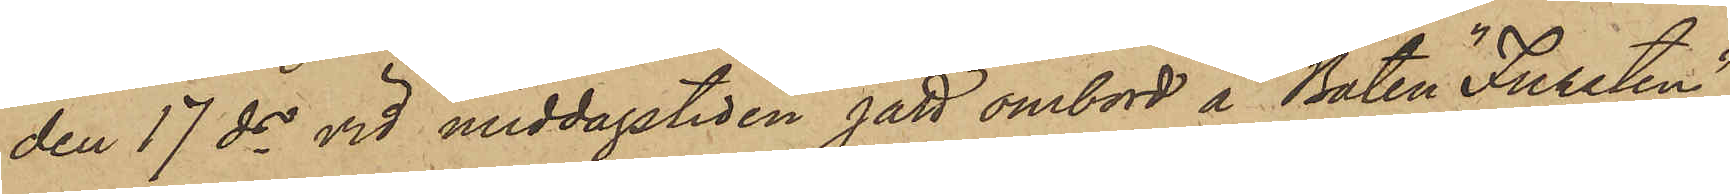den 17 ds vid middagstiden gått ombord å Båten "Fursten"
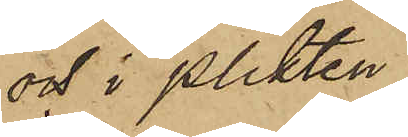och i plikten
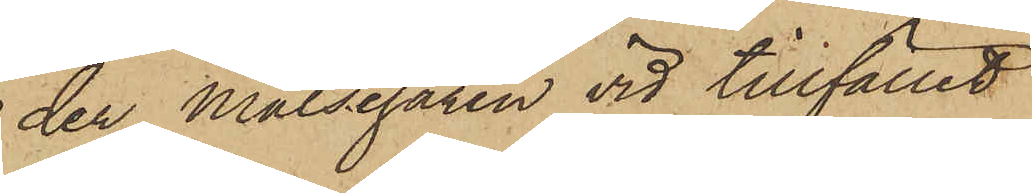der Målsegaren vid tillfället
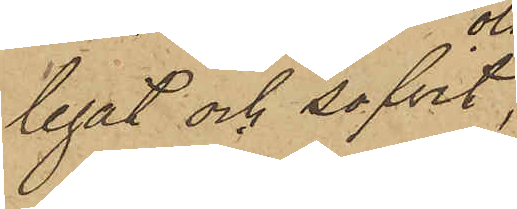legat och sofvit,
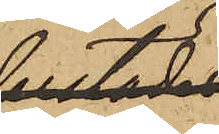olofligen
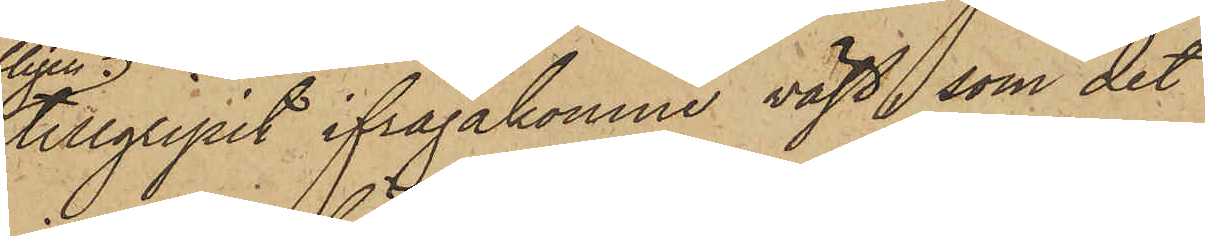tillgripit ifrågakomne väst, som det
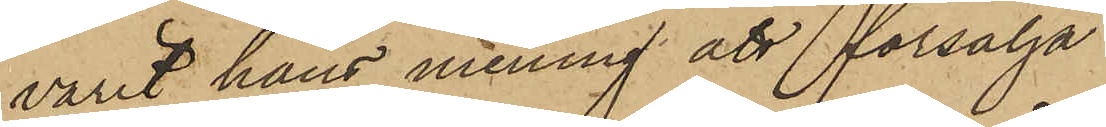varit hans mening att försälja.
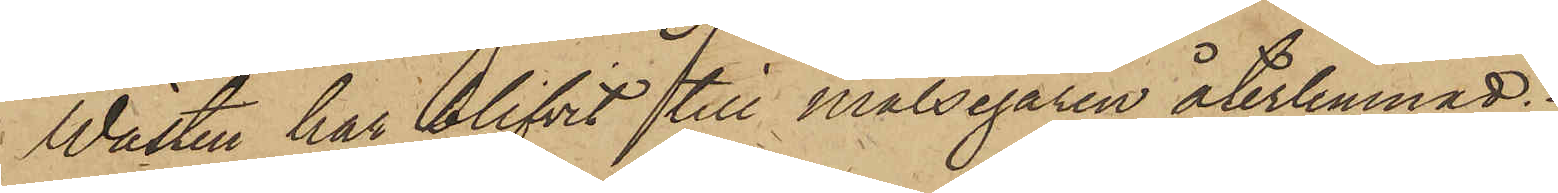Wästen har blifvit till Målsegaren återlemnad.
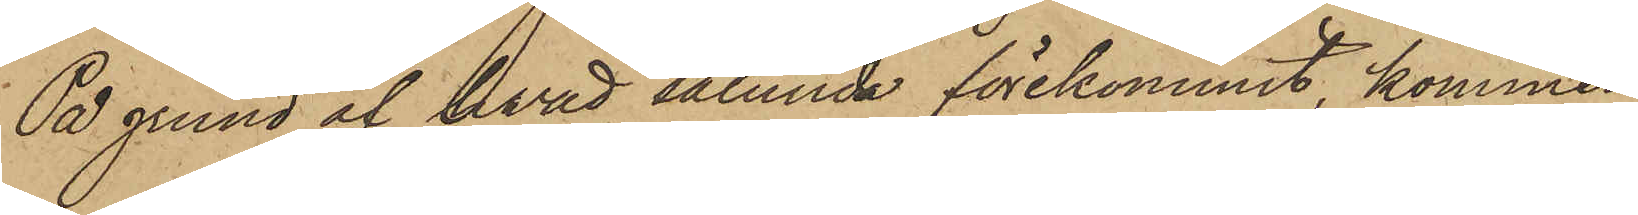På grund af hvad sålunda förekommit, kommer
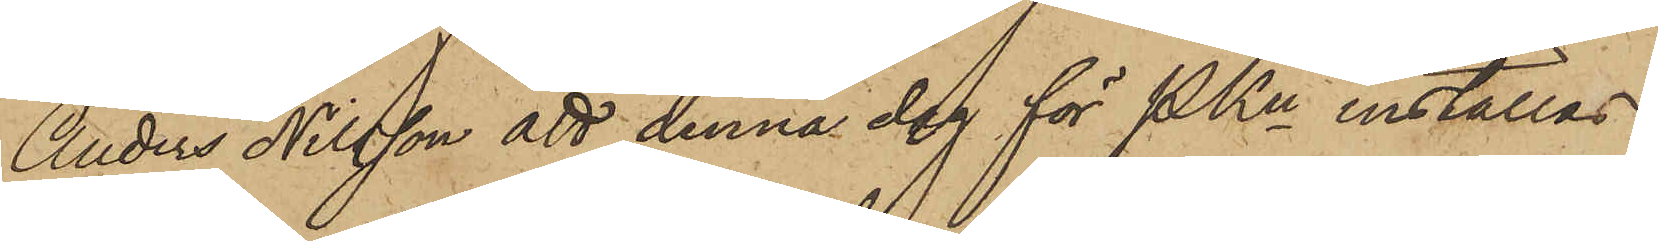Anders Nilsson att denna dag för PKn inställas.
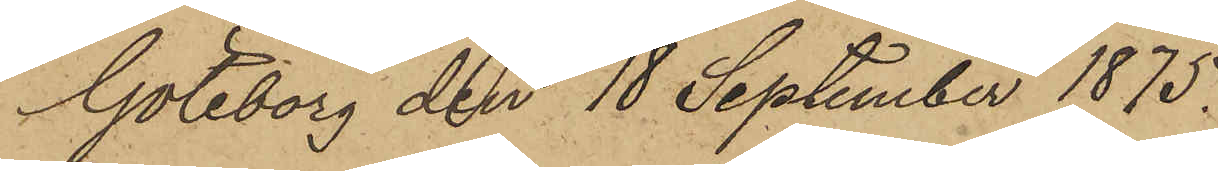Göteborg den 18 September 1875.
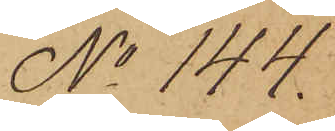No 144.
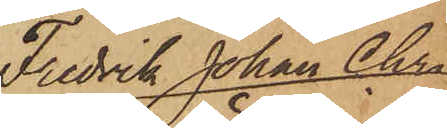Fredrik Johan Chri¬
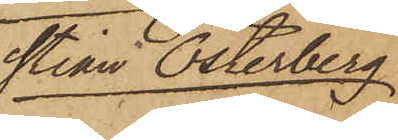stian Österberg.
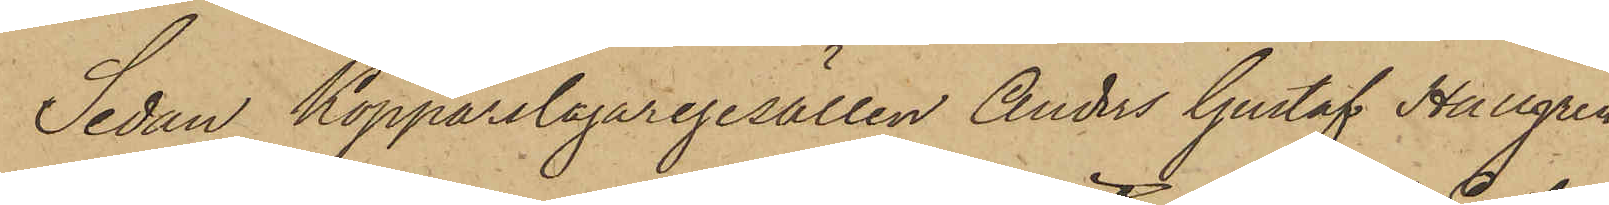Sedan Kopparslagaregesällen Anders Gustaf Hallgren,
